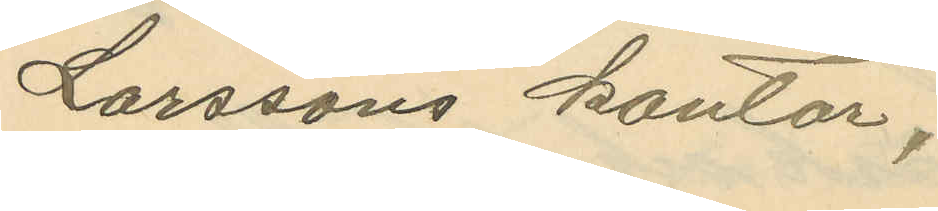Larssons kontor;
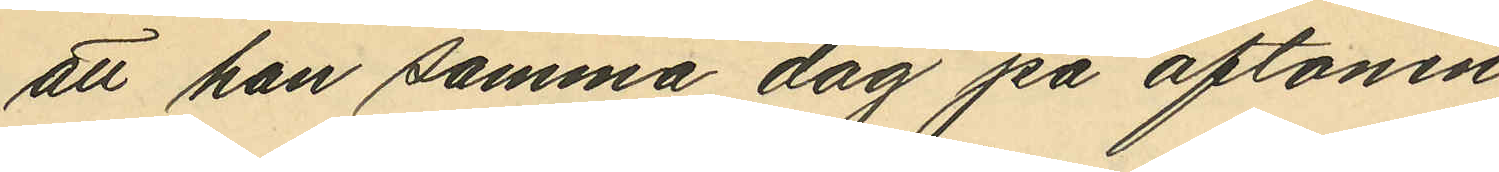att han samma dag på aftonen,
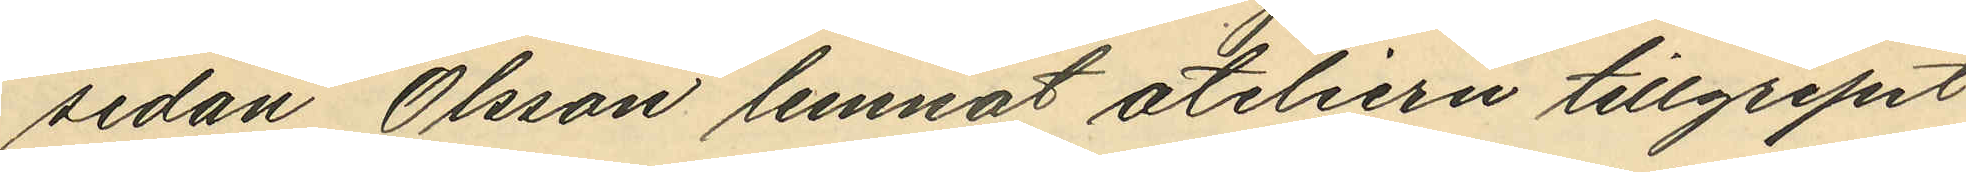sedan Olsson lemnat ateliern tillgripit
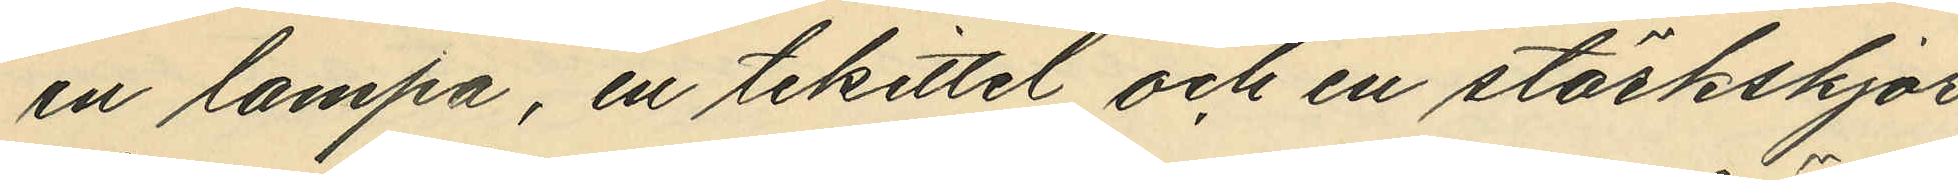en lampa, en tekittel och en stärkskjor¬
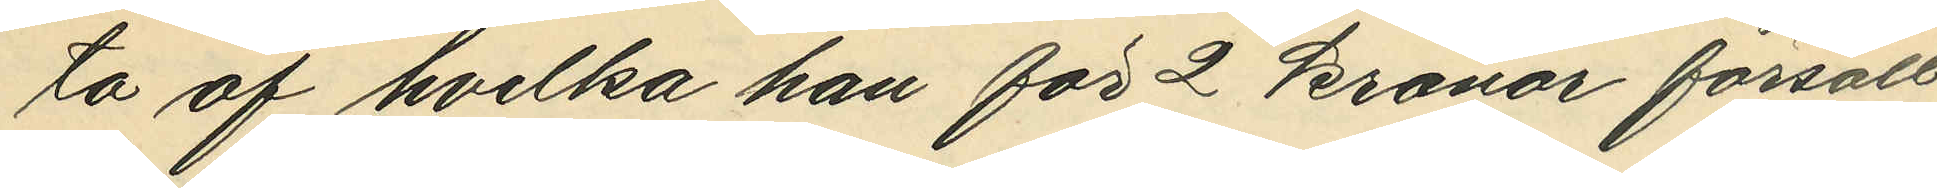ta af hvilka han för 2 kronor försålt
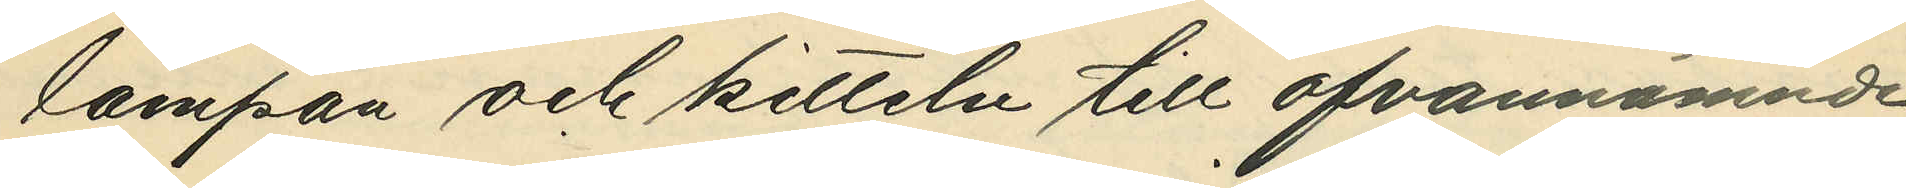lampa och kitteln till ofvannämnde
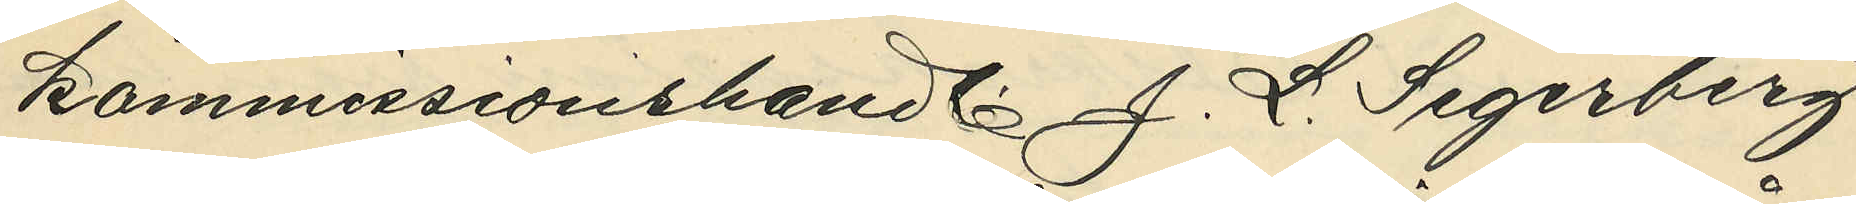kommissionshandl. J.L. Segerberg
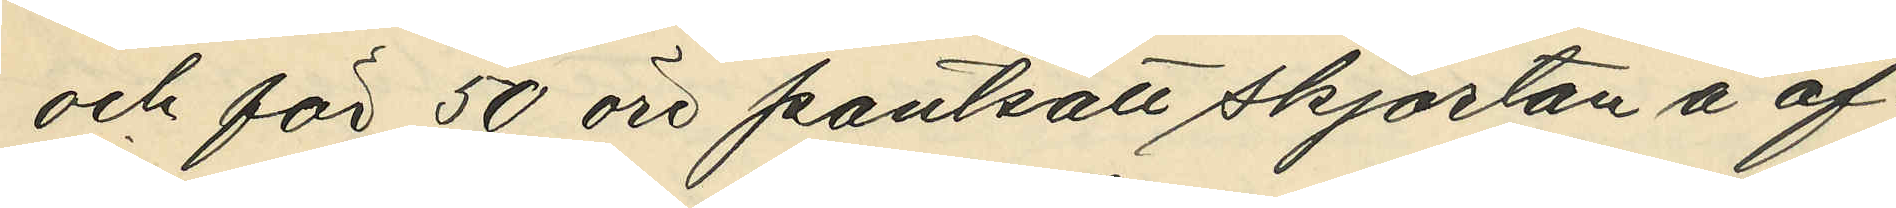och för 50 öre pantsatt skjortan å of¬
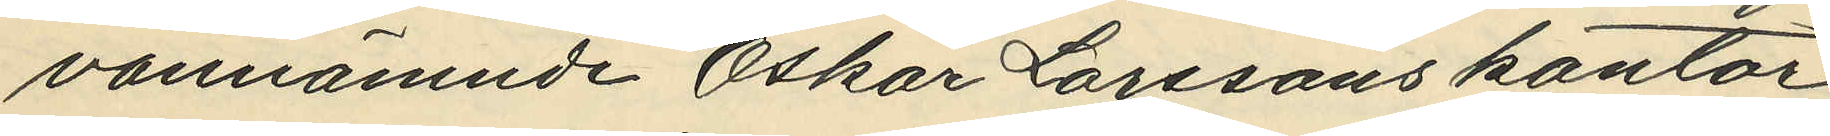vannämnde Oskar Larssons kontor
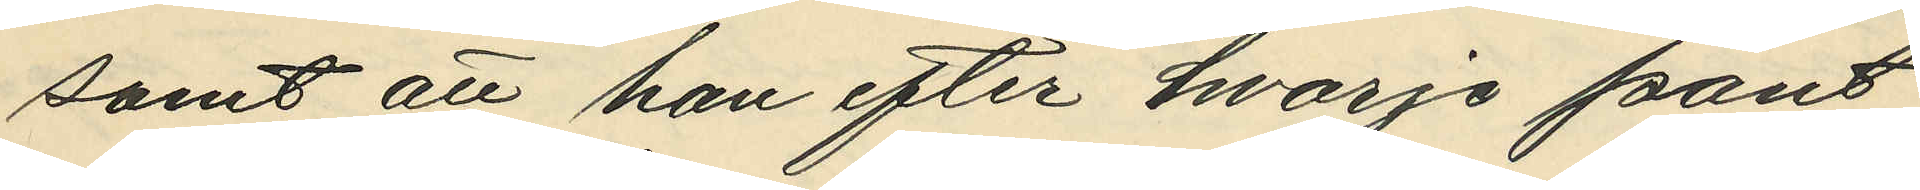samt att han efter hvarje pant¬
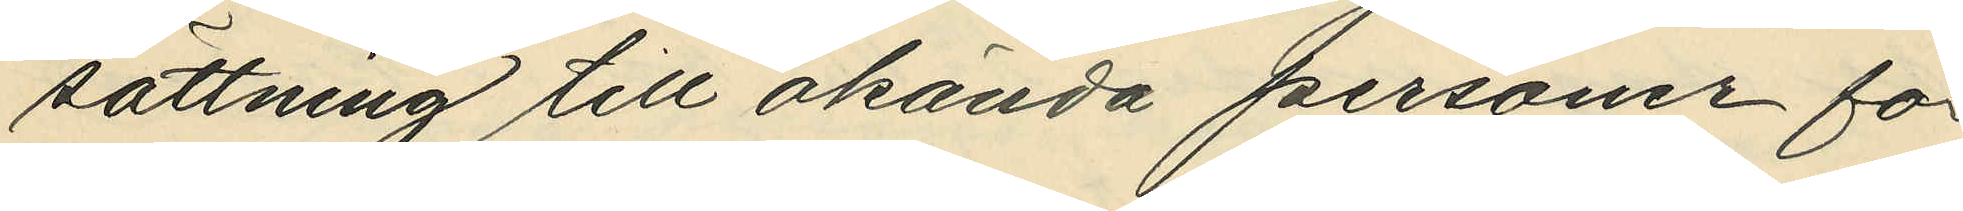sättning till okända personer för
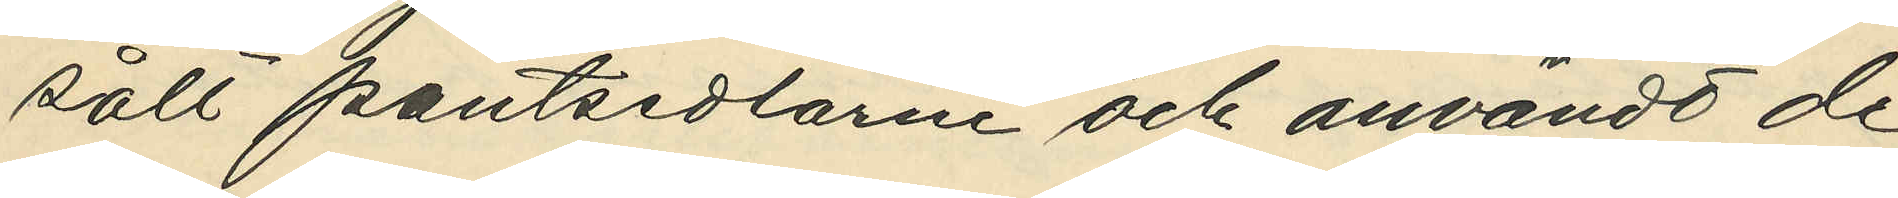sålt pantsedlarne och användt de
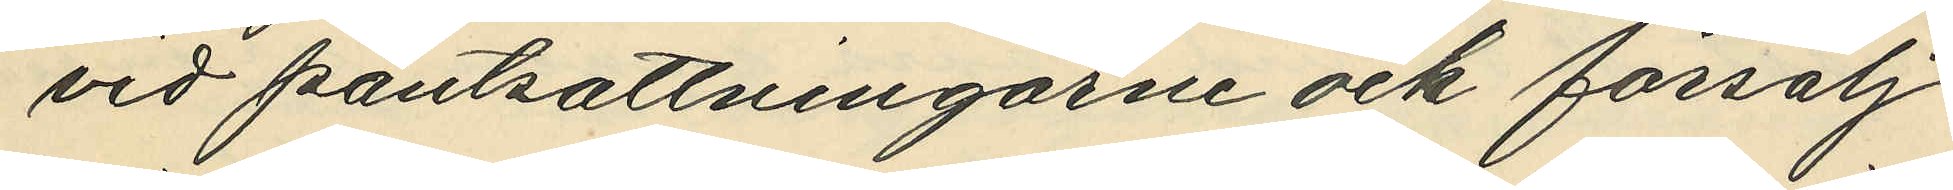vid pantsättningarne och försälj¬
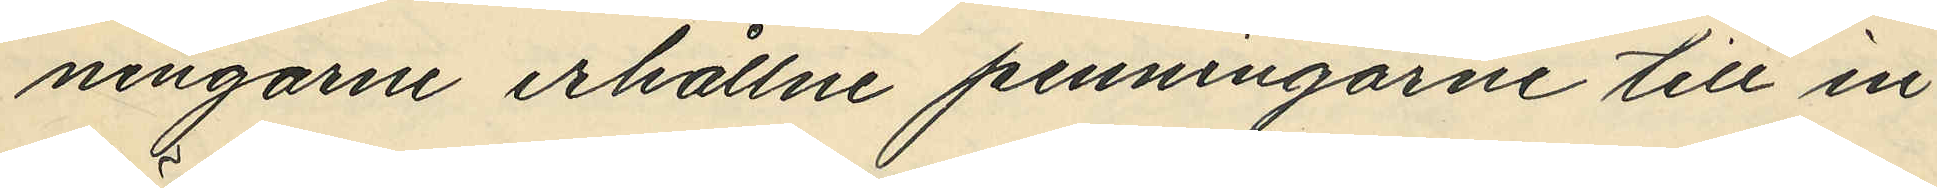ningarne erhållne penningarne till in¬
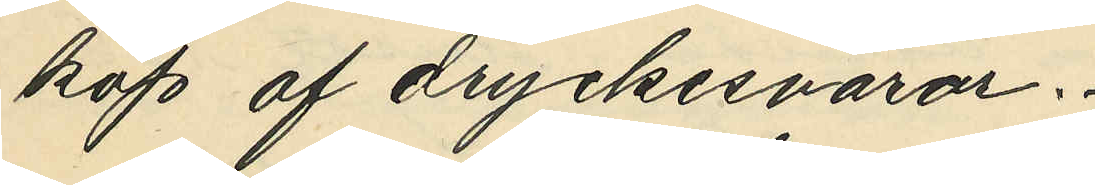köp af dryckesvaror.
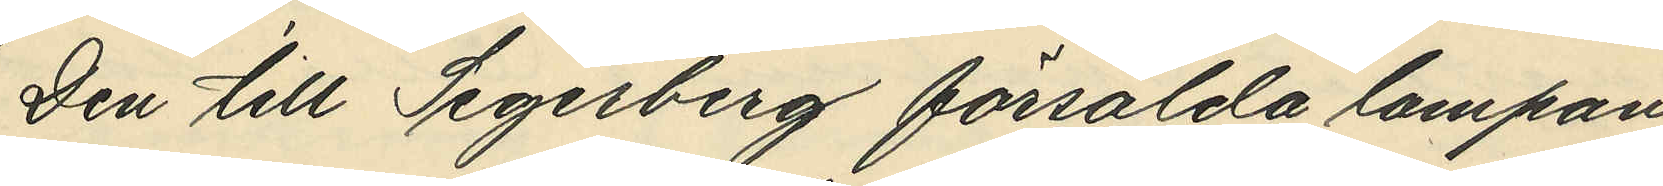Den till Segerberg försålda lampan
